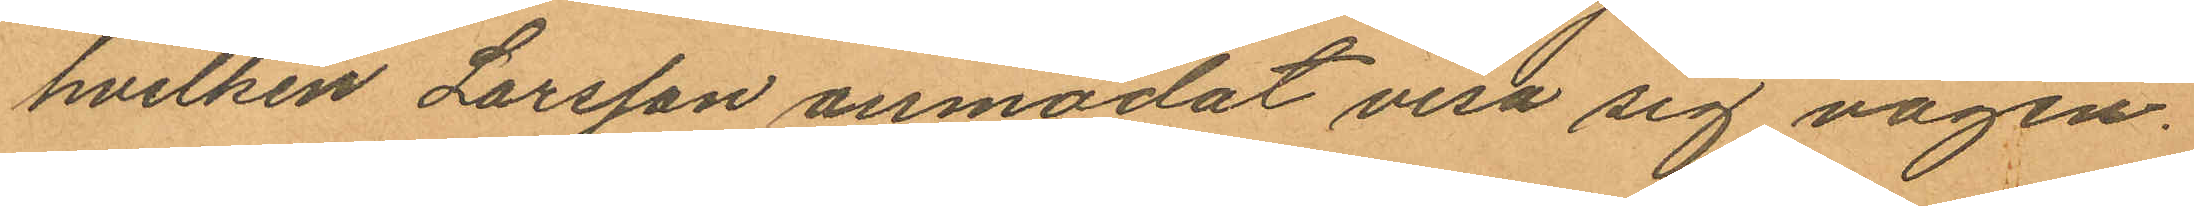hvilken Larsson anmodat visa sig vägen
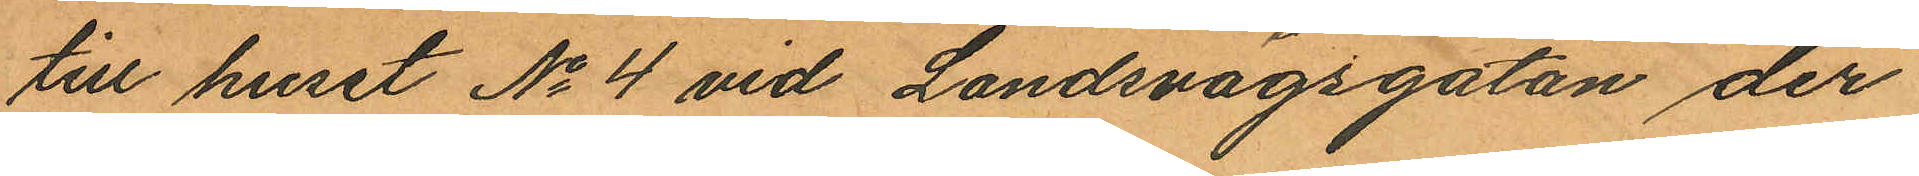till huset No 4 vid Landsvägsgatan der
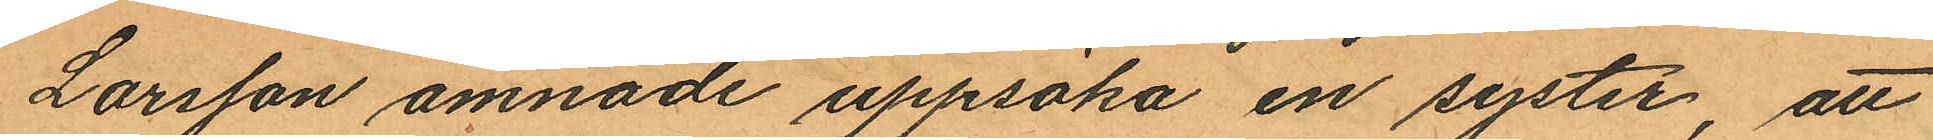Larsson ämnade uppsöka en syster, att
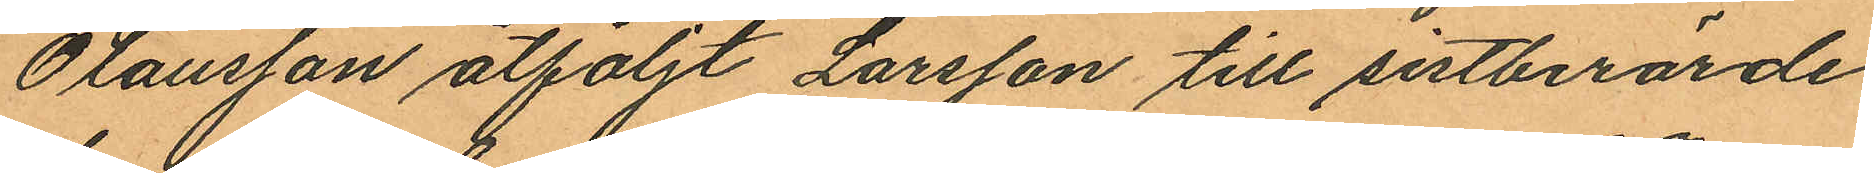Olausson åtföljt Larsson till sistberörde
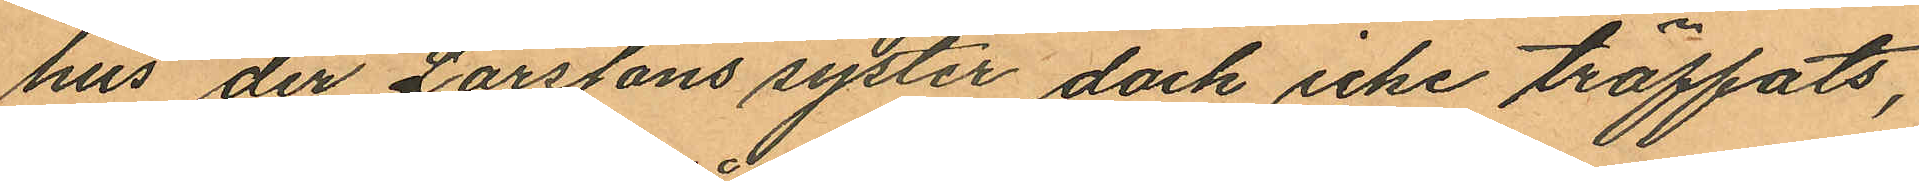hus der Larssons syster dock icke träffats,
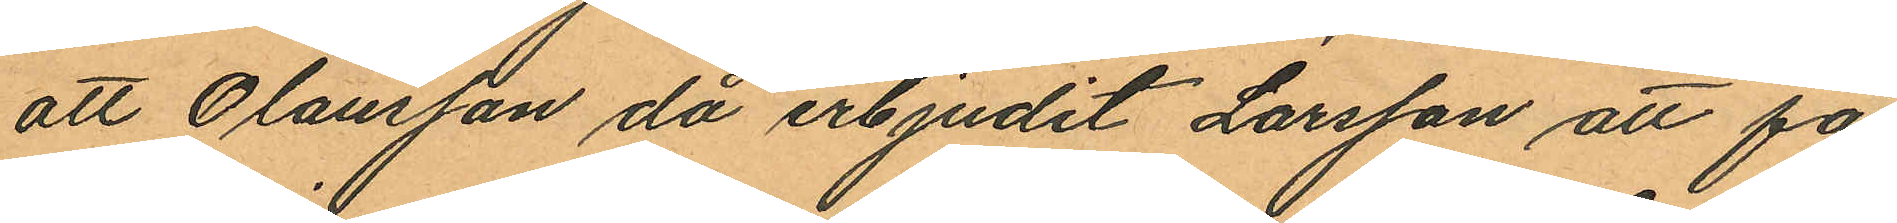att Olausson då erbjudit Larsson att få
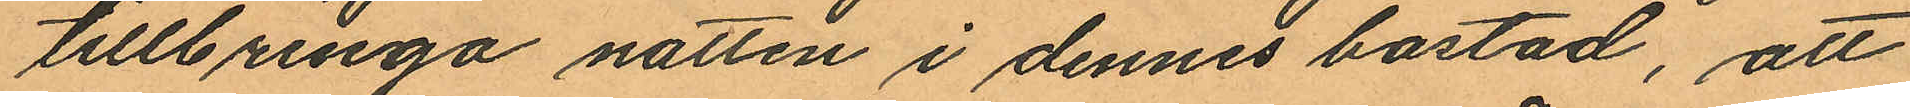tillbringa natten i dennes bostad, att
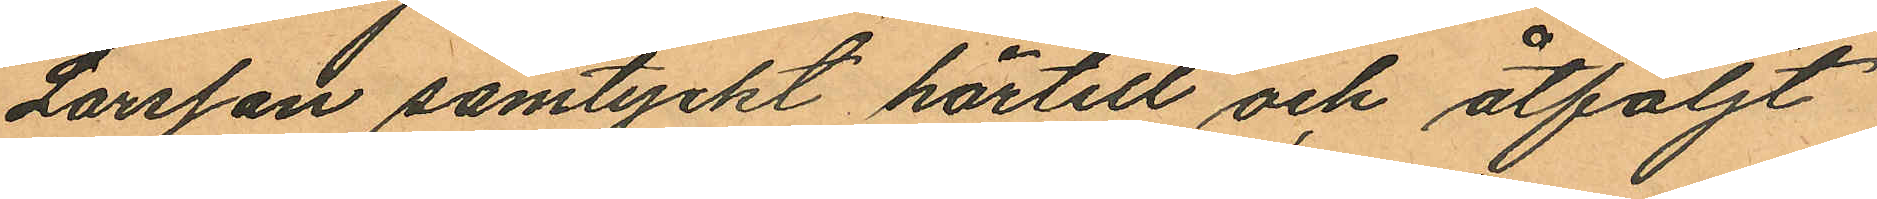Larsson samtyckt härtill och åtföljt
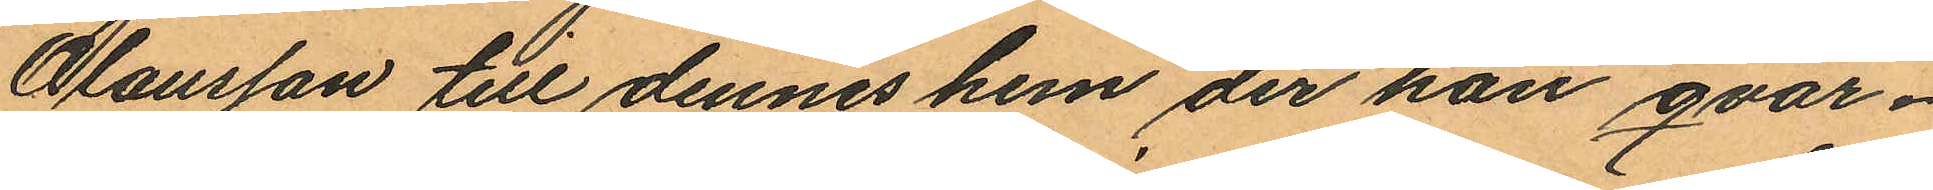Olausson till dennes hem der han qvar¬
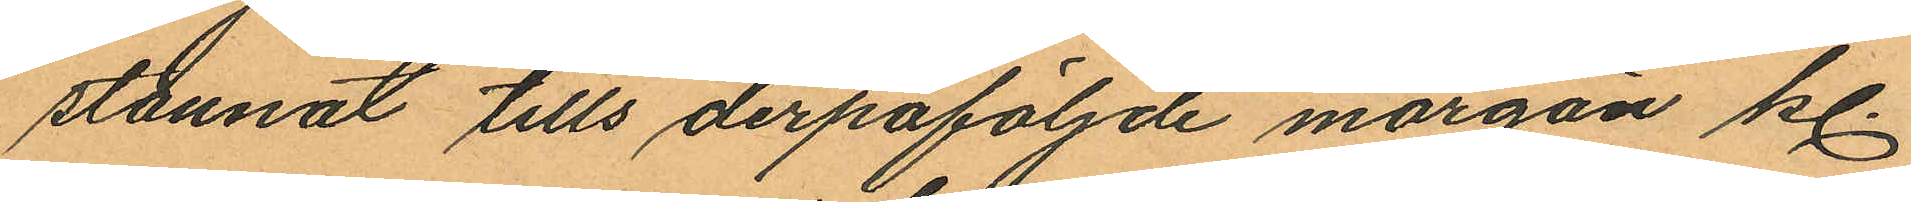stannat tills derpåföljnde morgon kl.
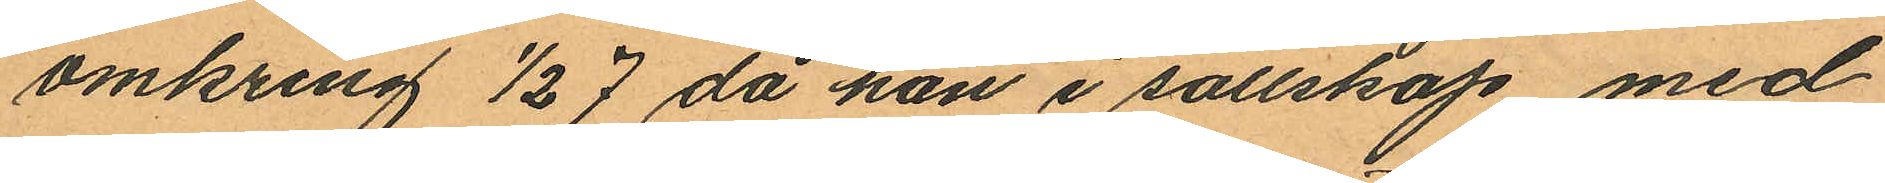omkring ½ 7 då han i sällskap med
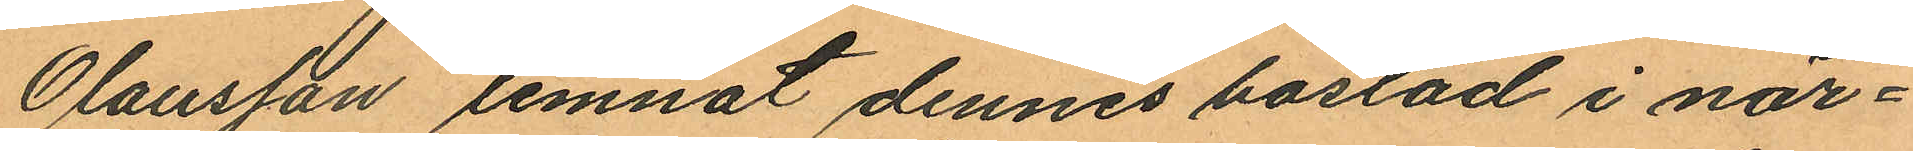Olausson lemnat dennes bostad i när¬
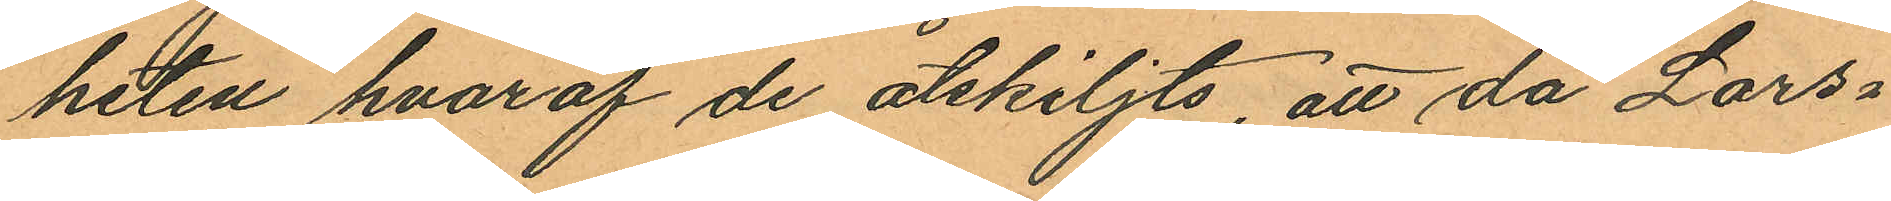heten hvaraf de åtskiljts, att då Lars¬
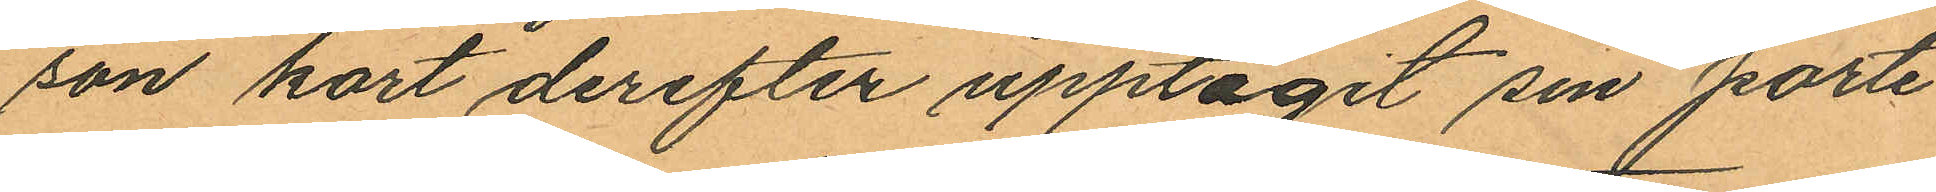son kort derefter upptagit sin porte
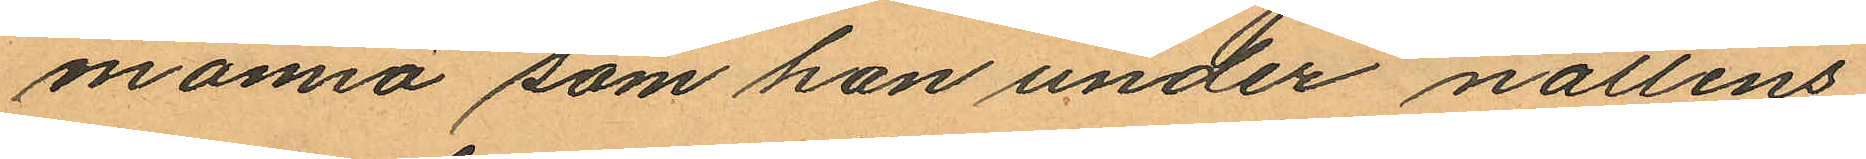monnä som han under nattens
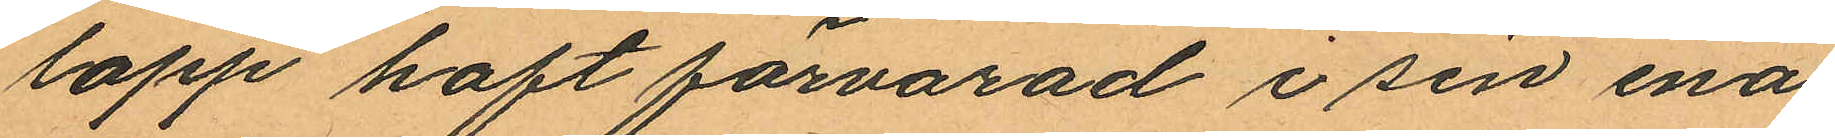lopp haft förvarad i sin ena
